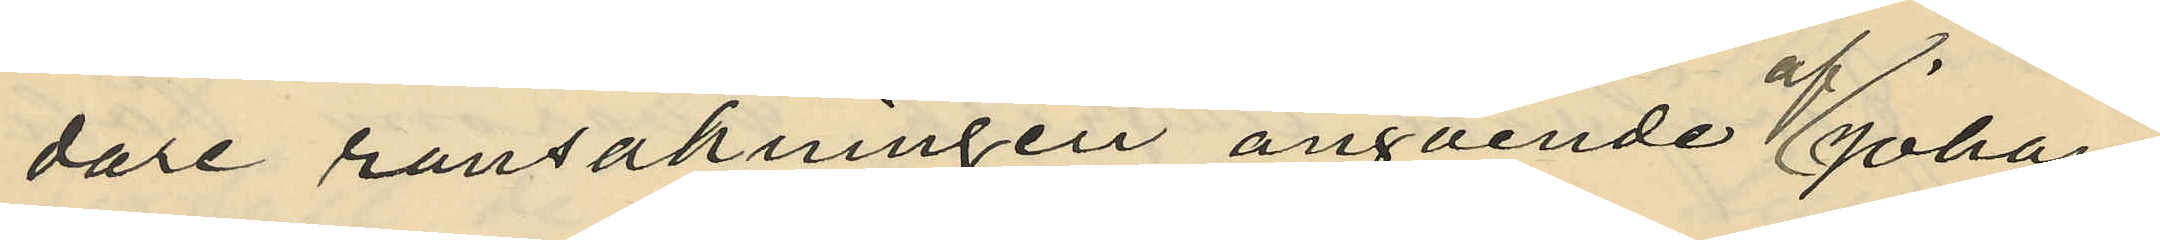dare ransakningen angående Johan
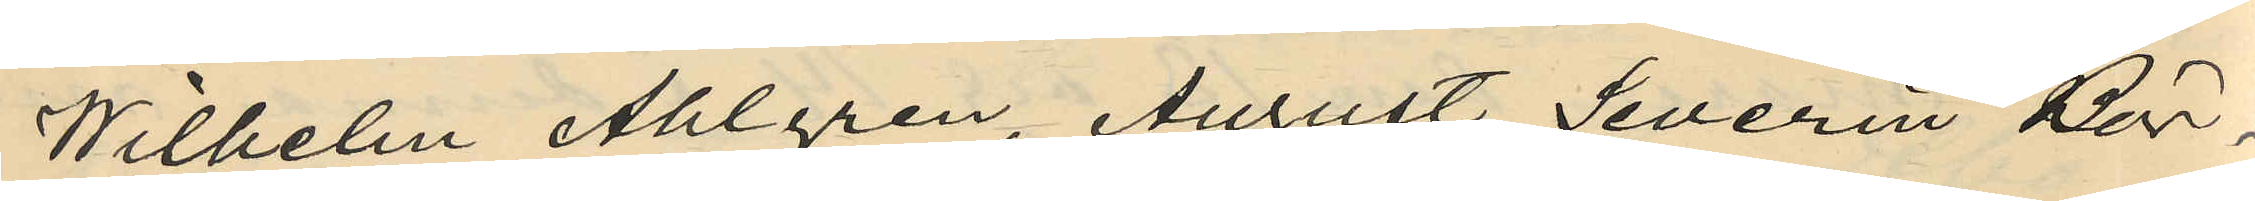Wilhelm Ahlgren, August Severin Bör¬
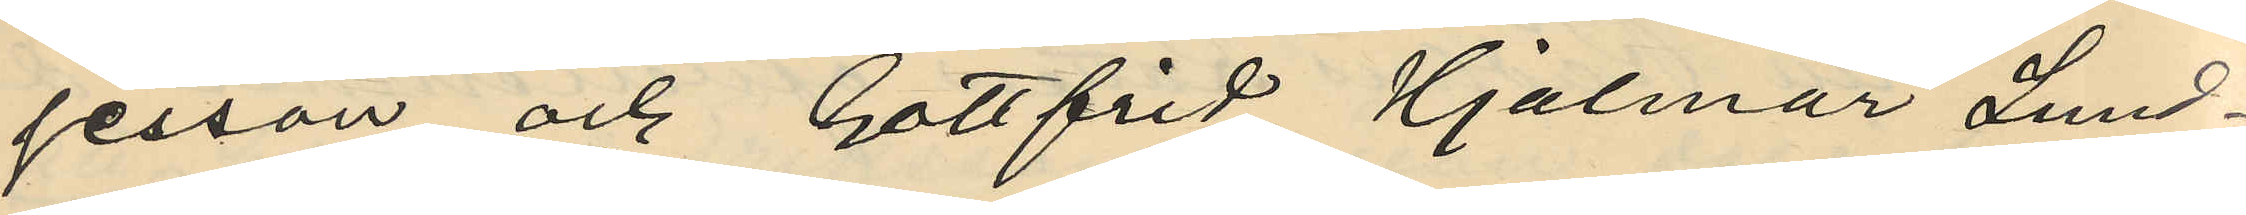jesson och Gottfrid Hjalmar Lund¬
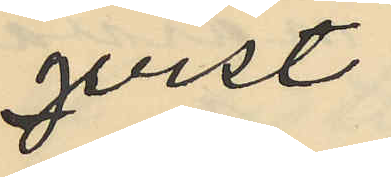qvist
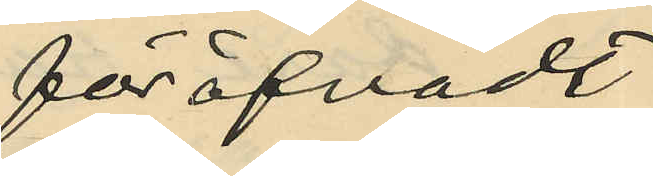föröfvadt
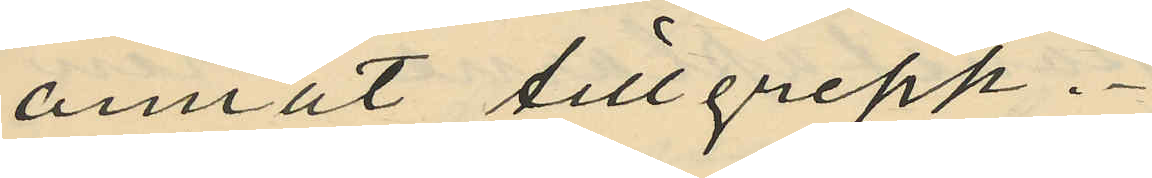annat tillgrepp.
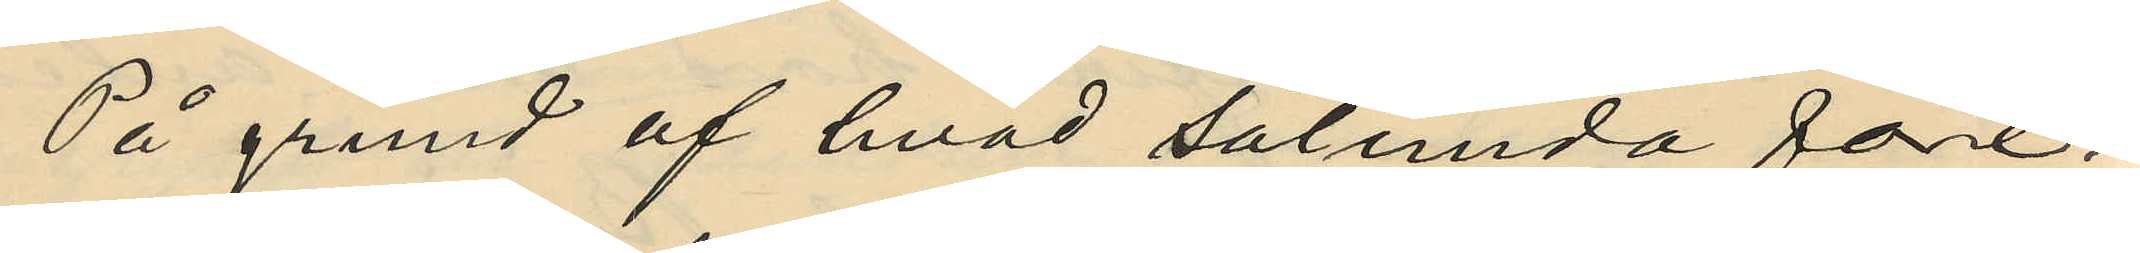På grund af hvad sålunda före¬
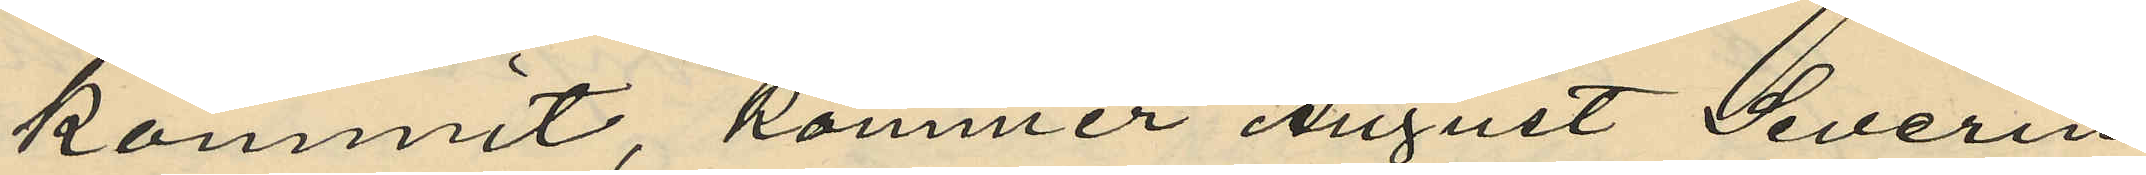kommit, kommer August Severin
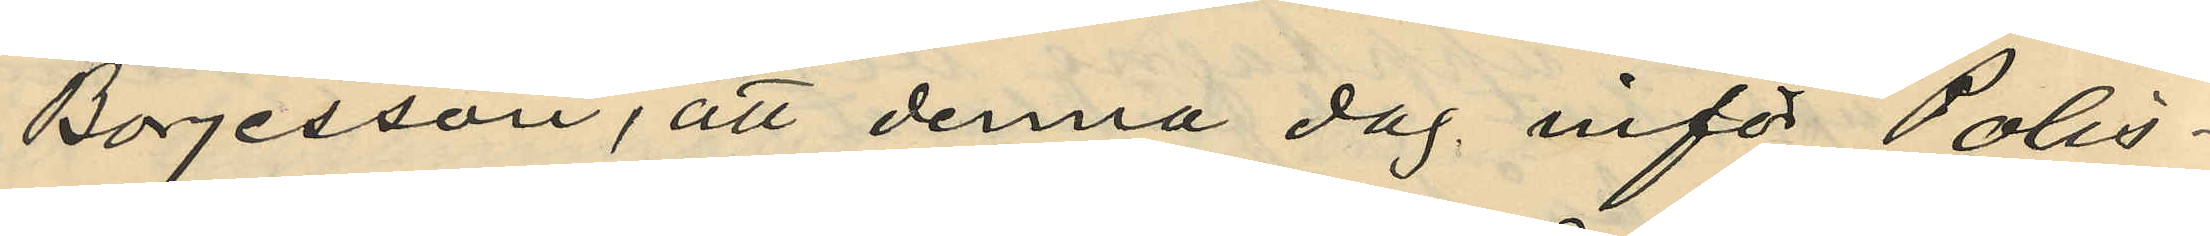Börjesson, att denna dag inför Polis¬
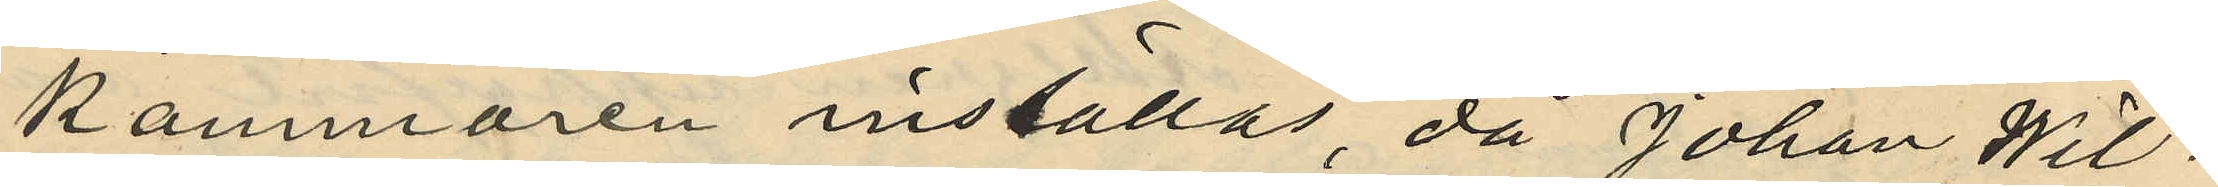kammaren inställas, då Johan Wil¬
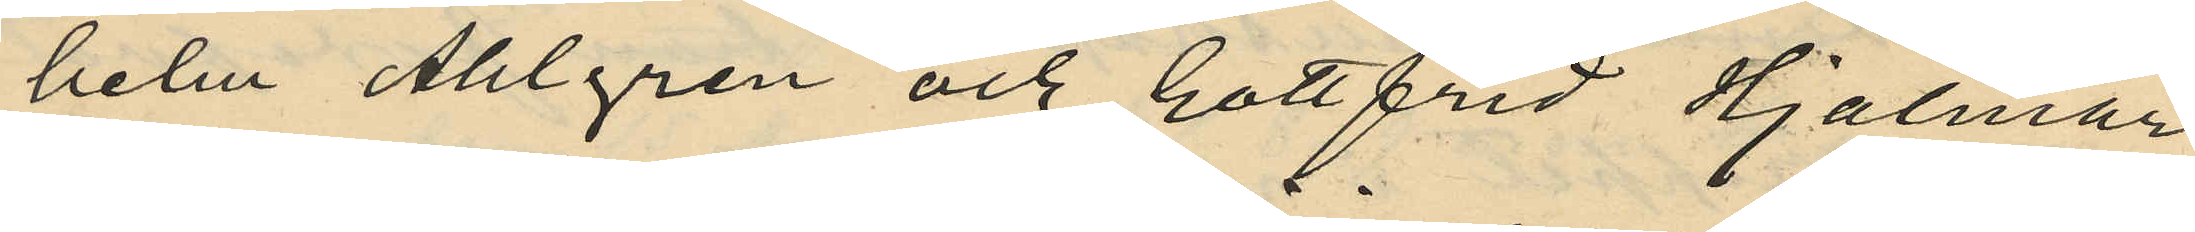helm Ahlgren och Gottfrid Hjalmar
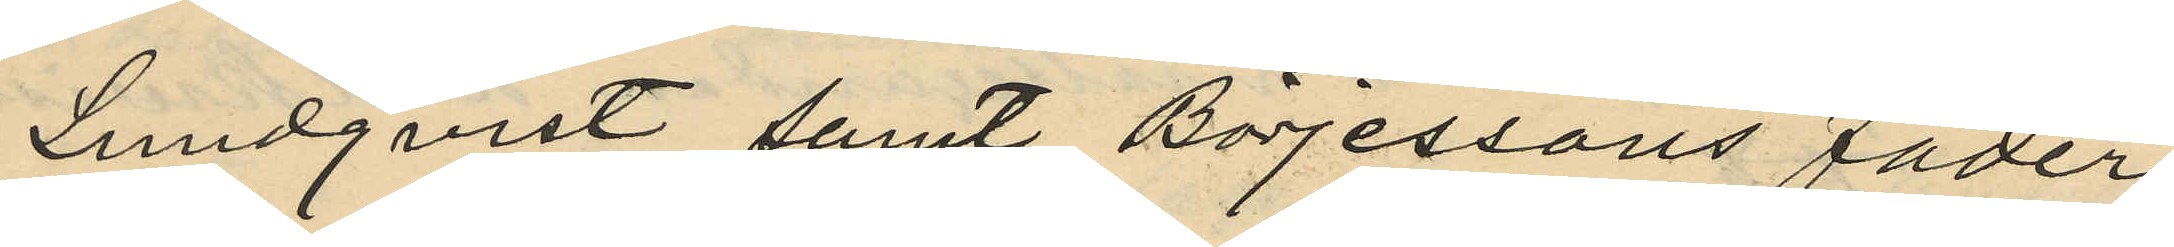Lundquist samt Börjessons fader
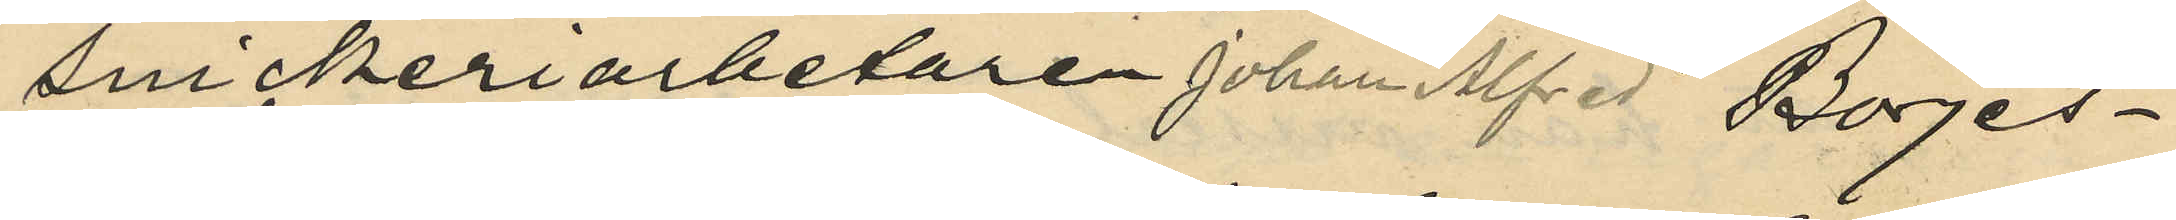Snickeriarbetaren Johan Alfred Börjes¬
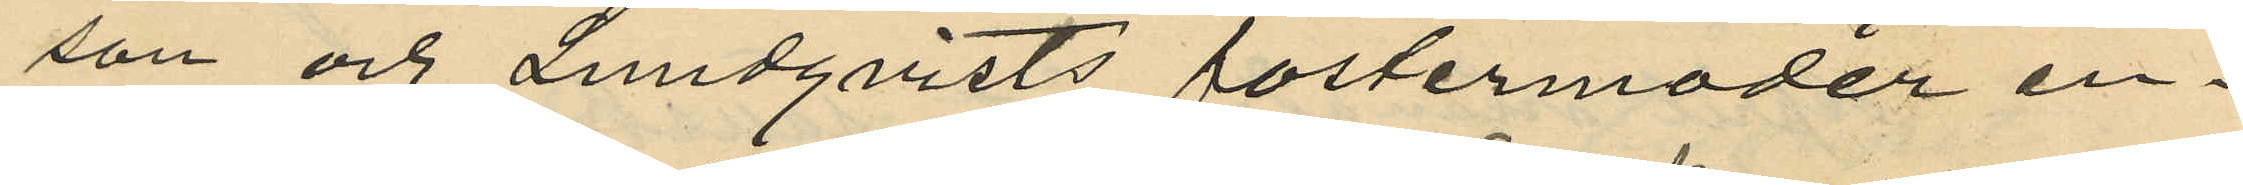son och Lundqvists fostermoder en¬
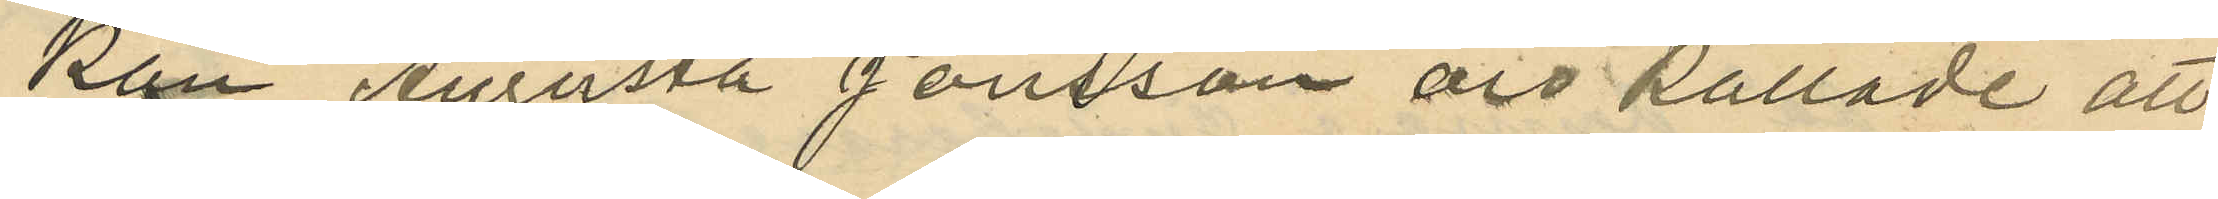kan Augusta Jansson äro kallade att
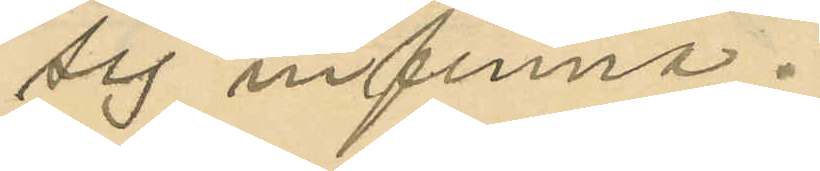sig infinna.
